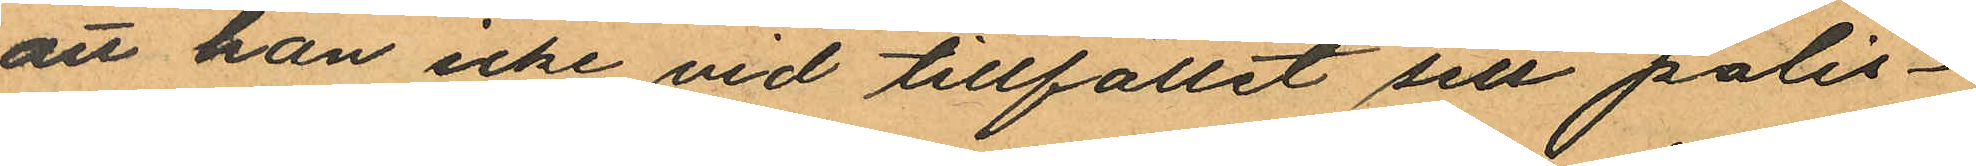att han icke vid tillfället sett polis¬
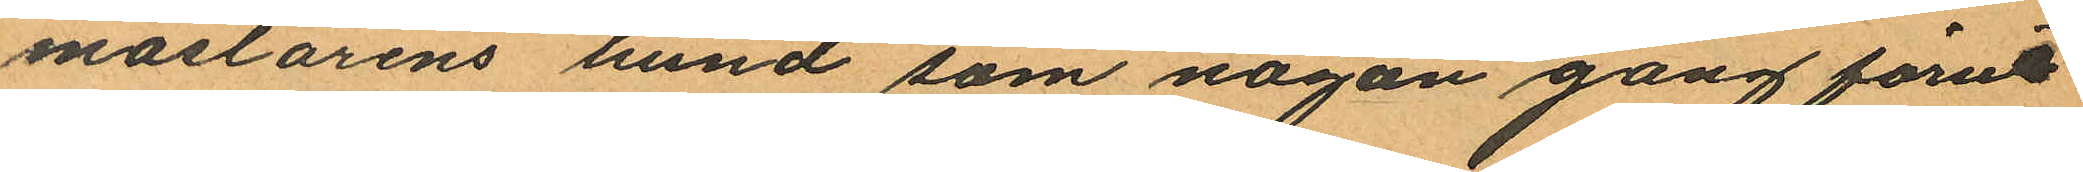mästarens hund som någon gång förut
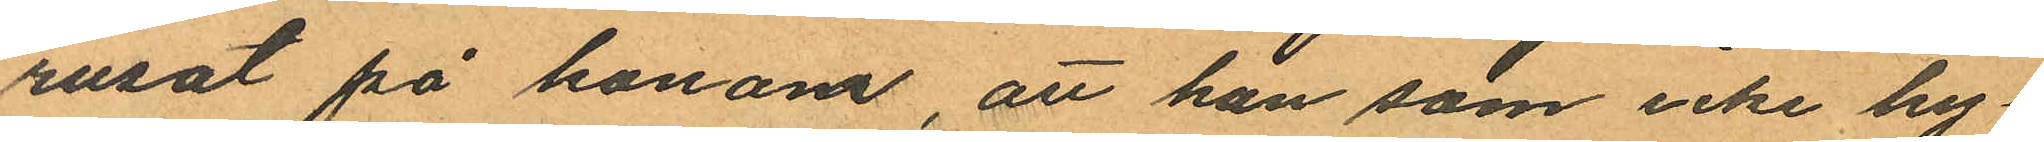rusat på honom, att han som icke hy
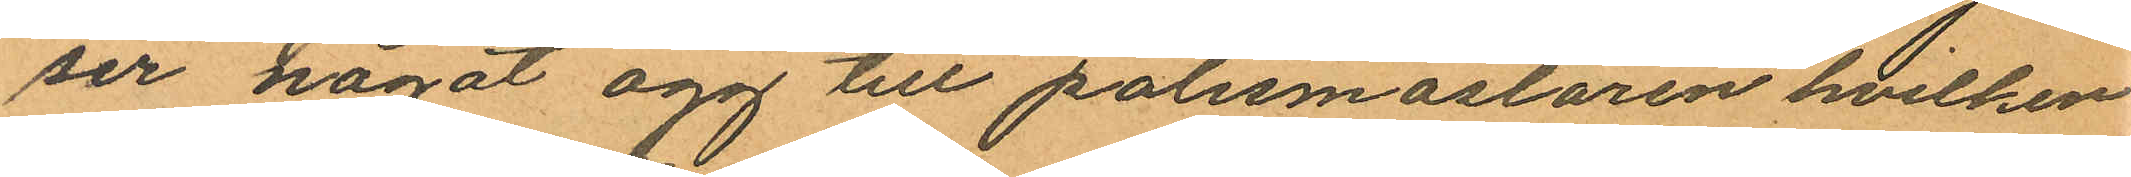ser något agg till polismästaren hvilken
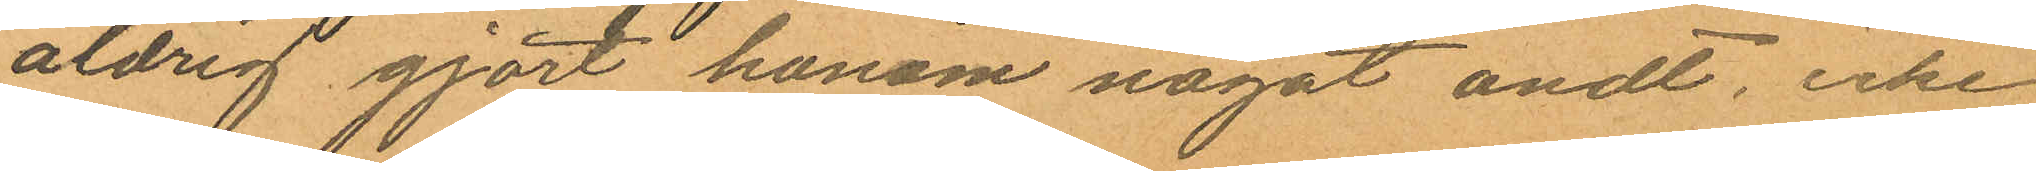aldrig gjort honom något ondt, icke
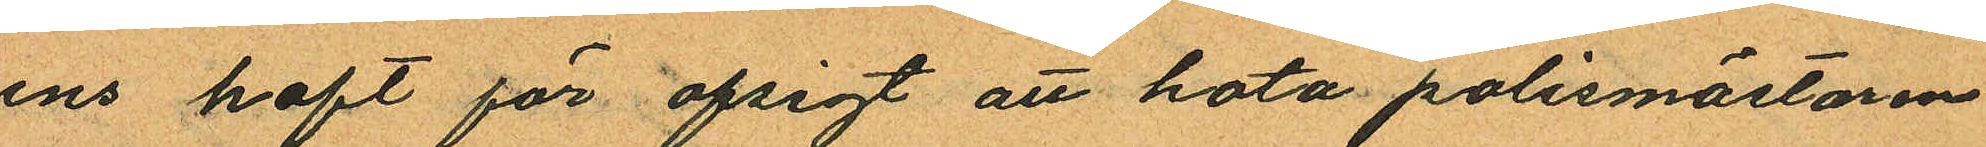ens haft för afsigt att hota polismästaren
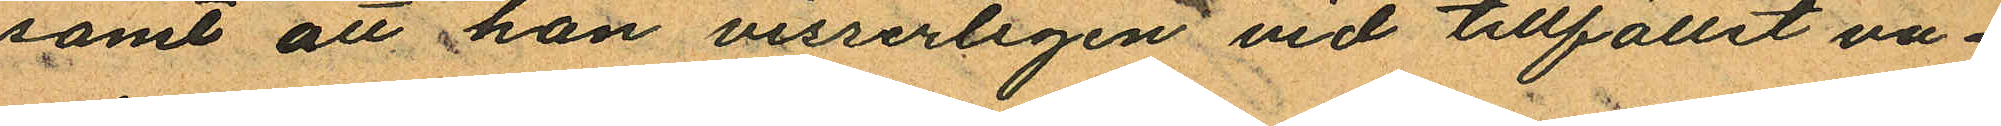samt att han visserligen vid tillfället va¬
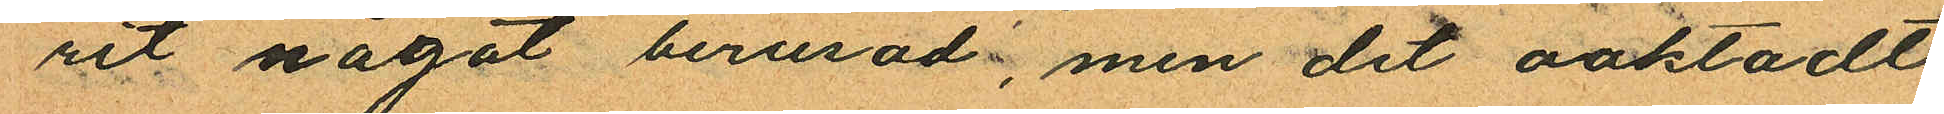rit något berusad, men det oaktadt
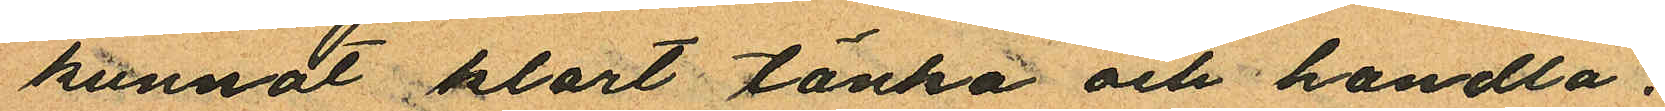kunnat klart tänka och handla.
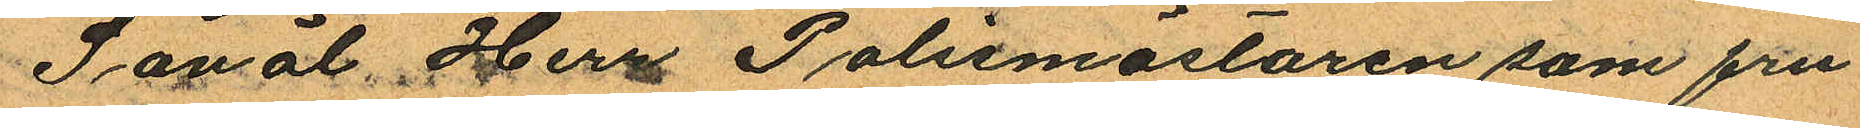Såväl Herr Polismästaren som fru
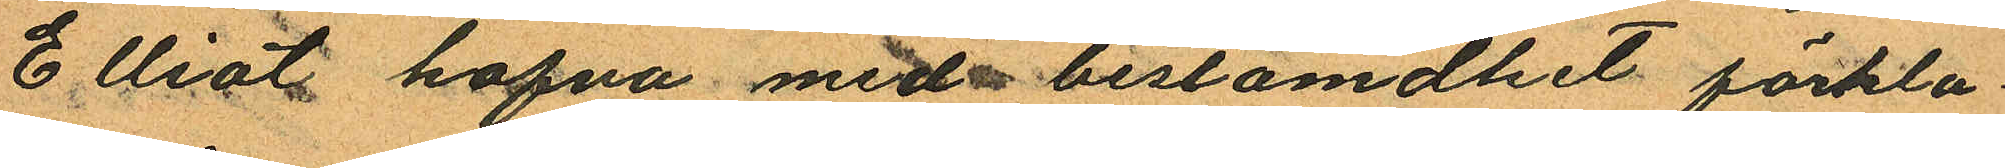Elliot hafva med bestämdhet förkla¬
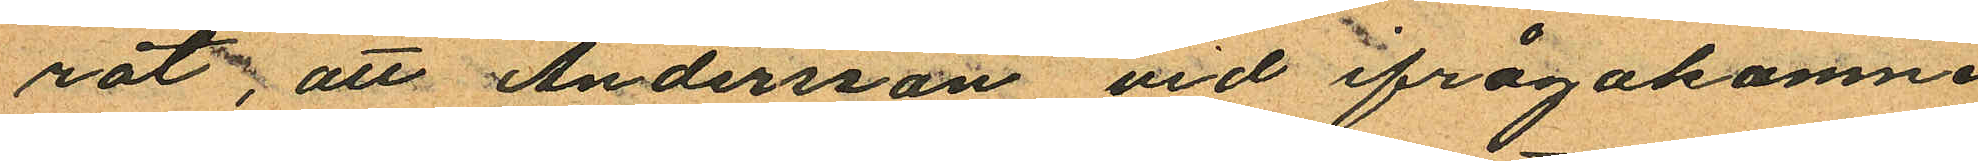rat; att Andersson vid ifrågakomne
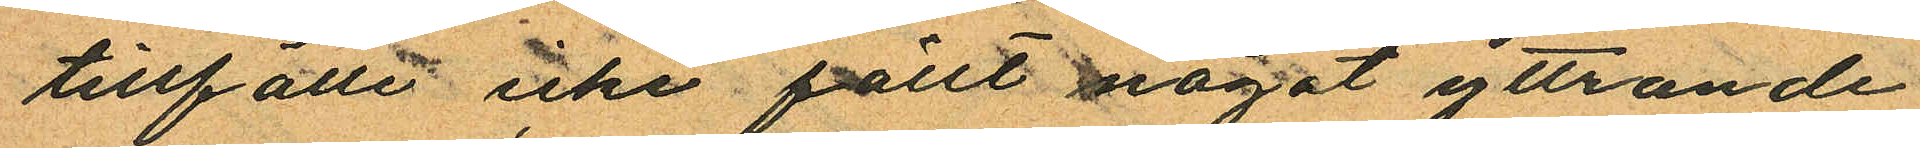tillfälle icke fällt något yttrande
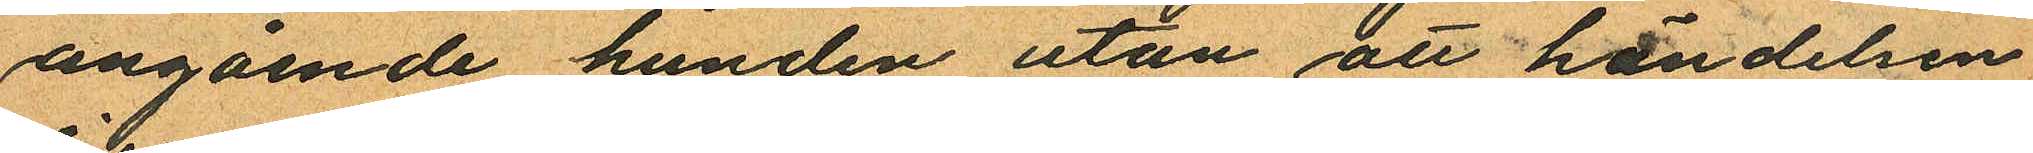angående hunden utan att händelsen
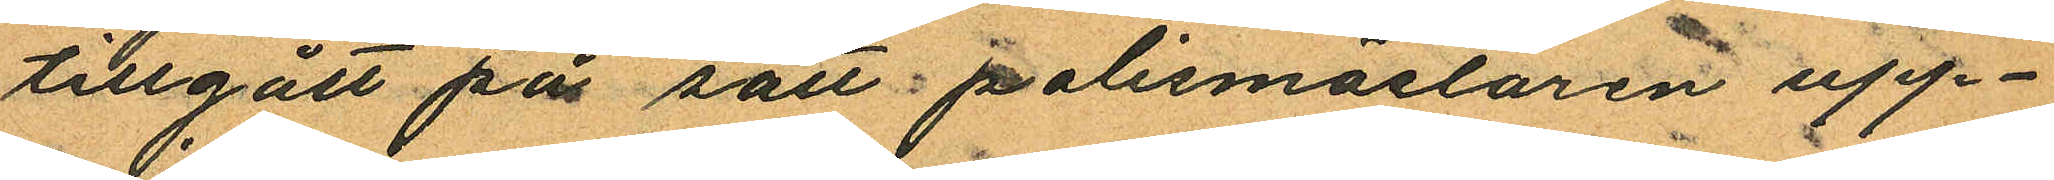tillgått på sätt polismästären upp¬
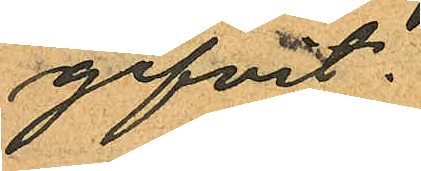gifvit:
